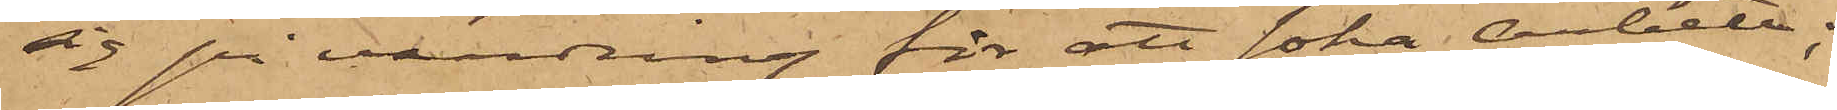sig på vandning för att söka arbete;
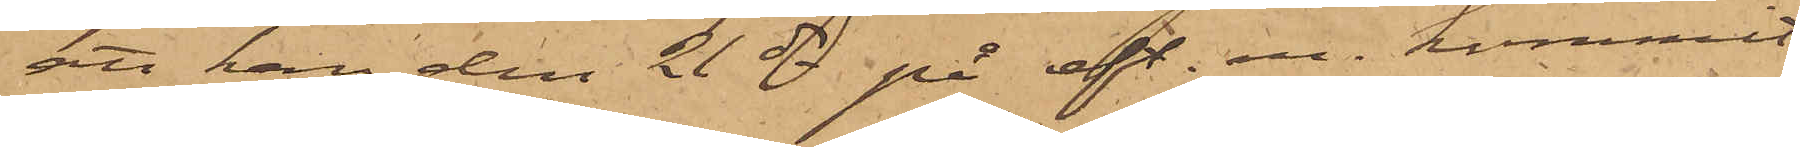att han den 21 ds på eft. m. kommit
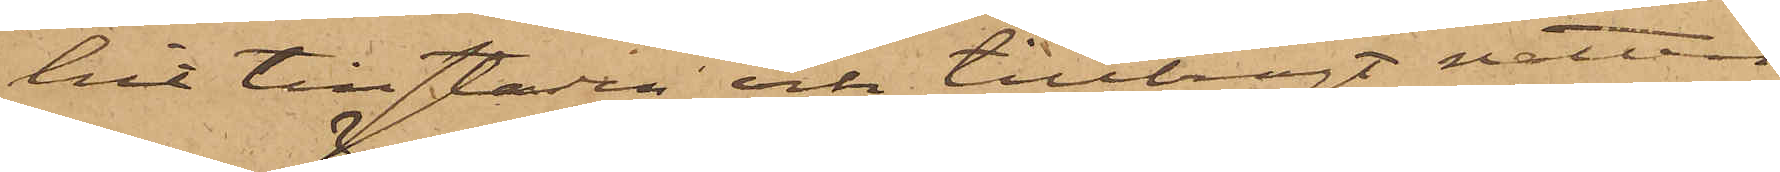hit till staden och tillbragt natten
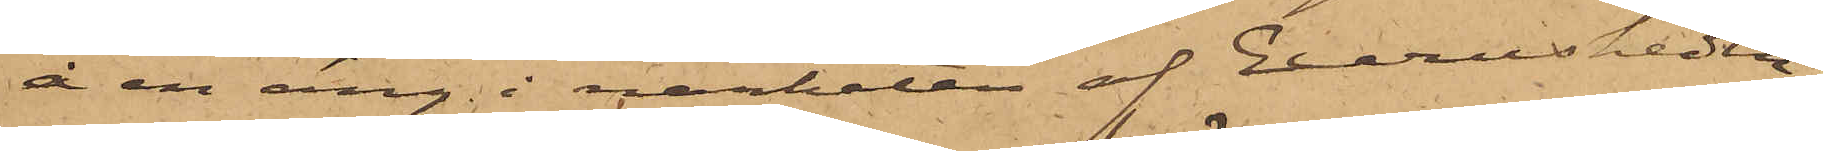å en äng i närheten af Exercisheden;
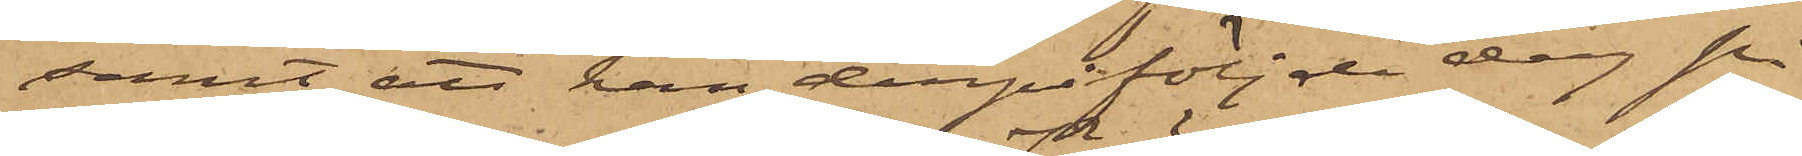samt att han derpåföljande dag på
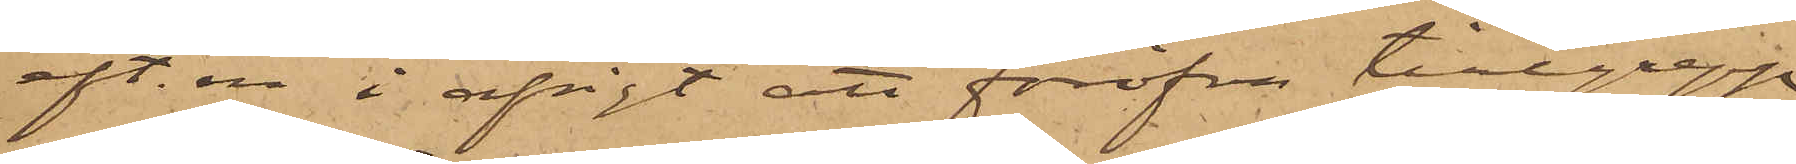eft. m. i afsigt att föröfva tillgrepp
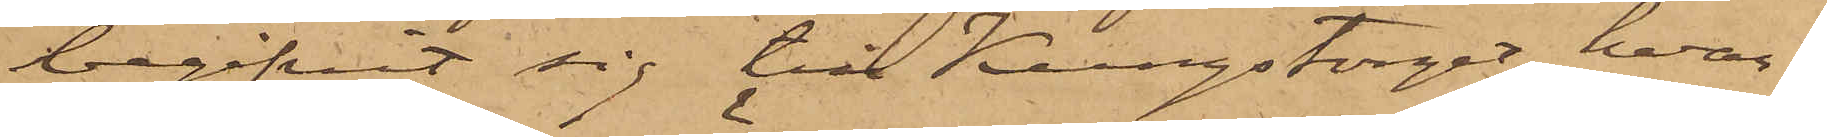begifvit sig till Kungstorget, hvar¬
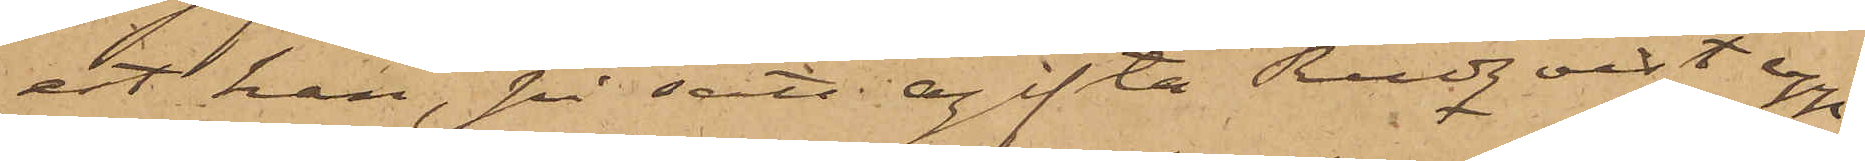est han, på sätt ogifta Rudqvist upp¬
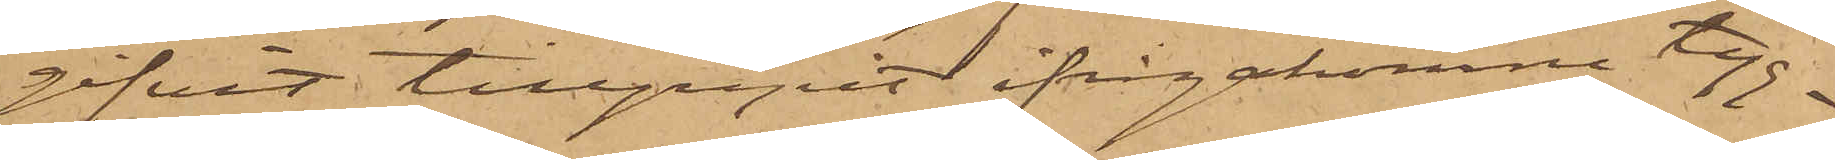gifvit tillgripit ifrågakomne tyg¬
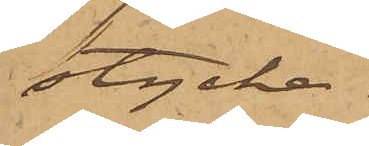stycke.
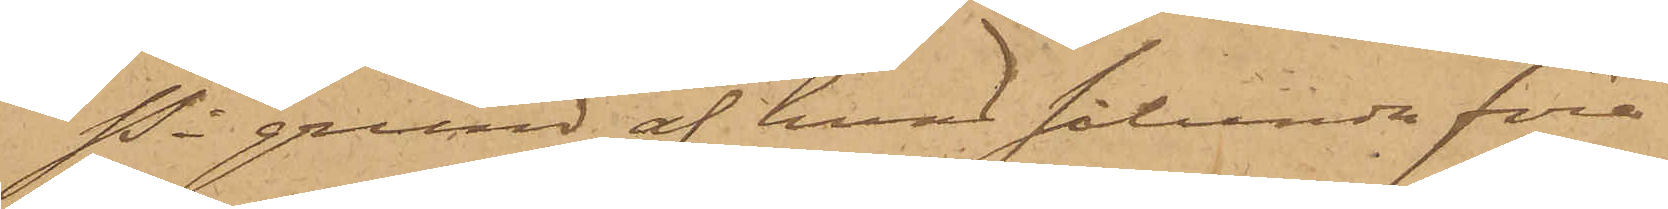På grund af hvad sålunda före¬
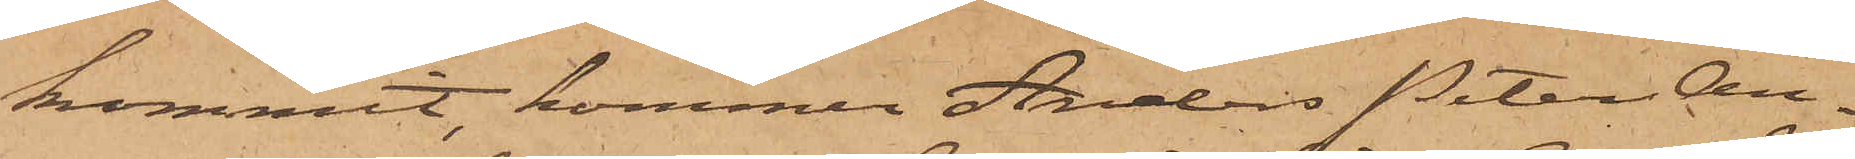kommit, kommer Anders Peter An¬
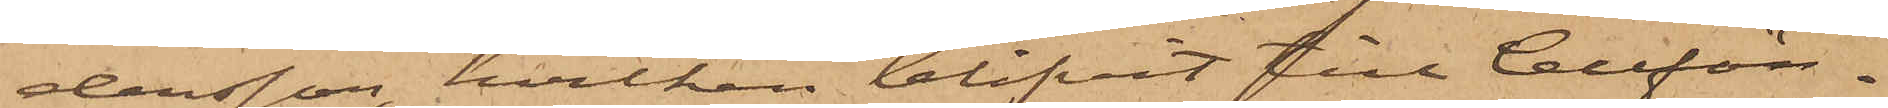dersson, hvilken blifvit till Cellfän¬
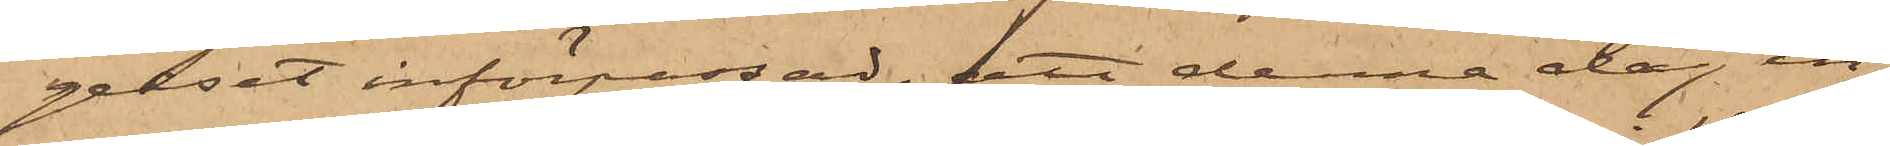gelset införpassad, att denna dag in¬
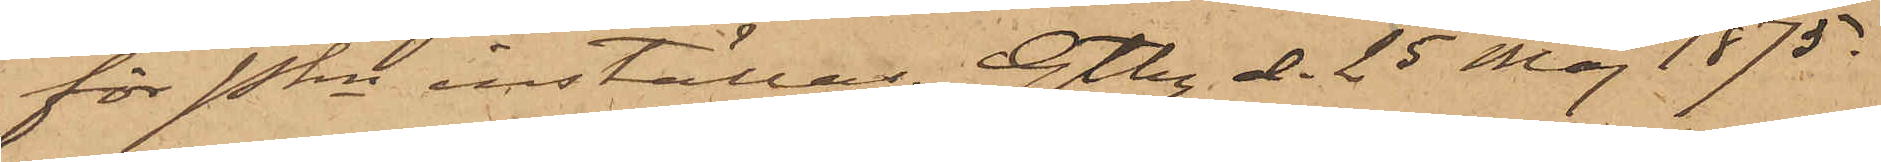för Pkn inställas. Gtbg d. 25 Maj 1875.
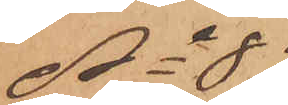No 89
